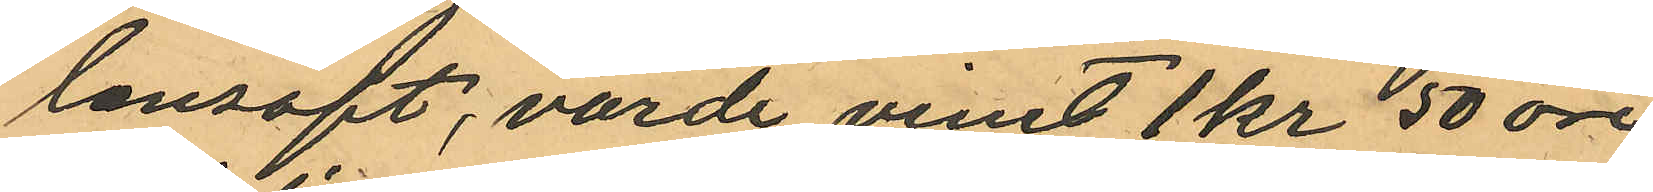lonsaft, värde minst 1 kr 50 öre
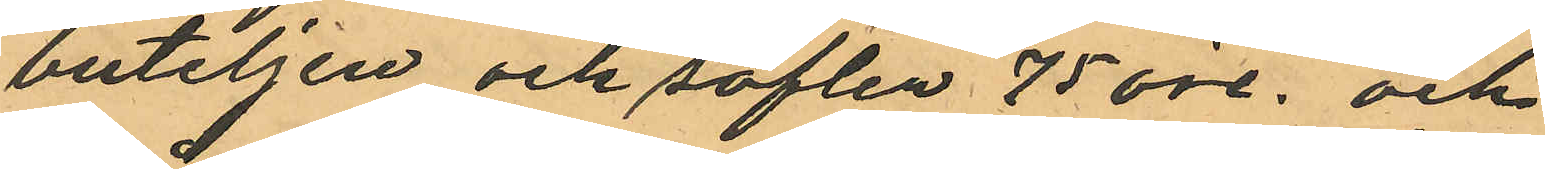buteljen och saften 75 öre; och
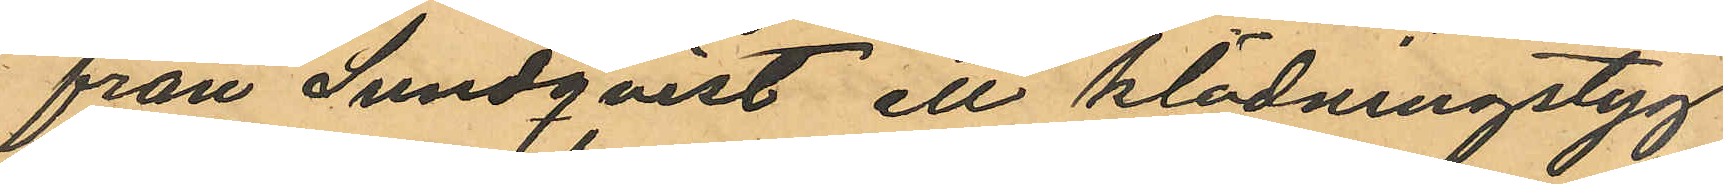från Lundqvist ett klädningstyg
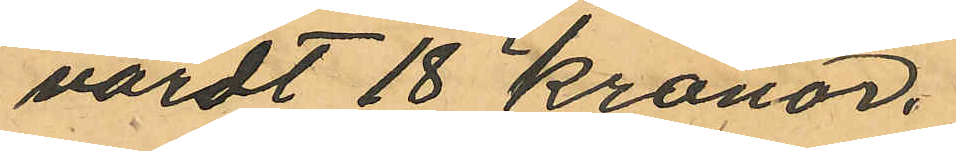värdt 18 kronor.
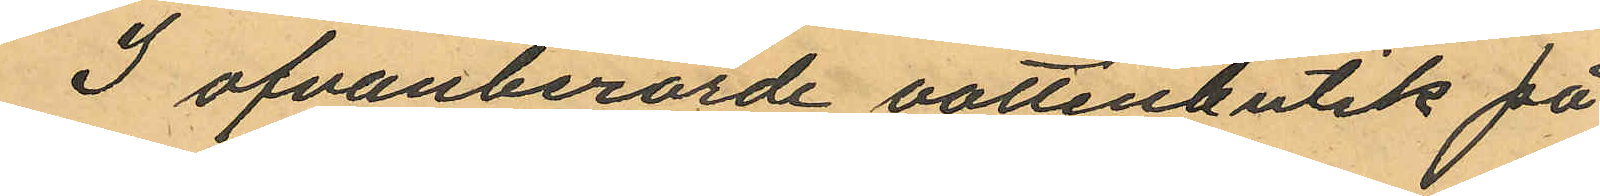I ofvanberörde vattenbutik på
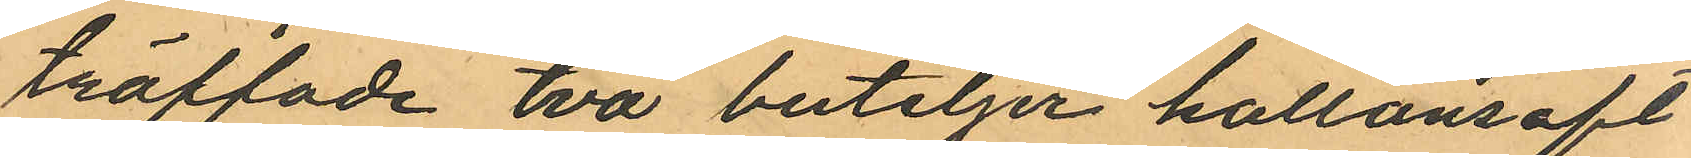träffade två buteljer hallonsaft
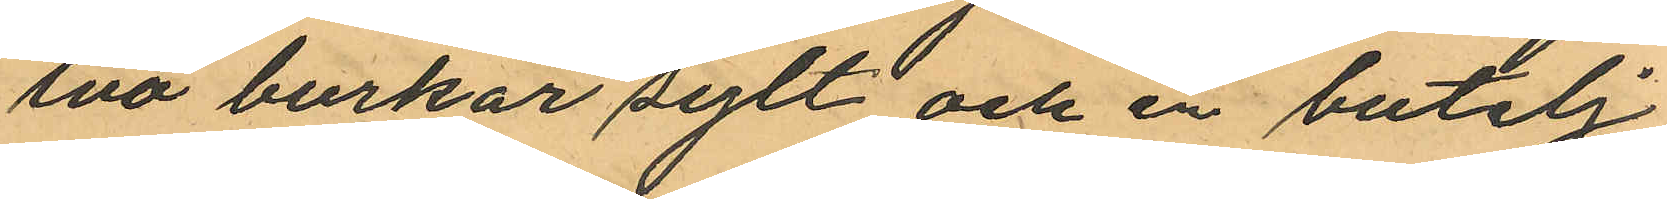två burkar sylt och en butelj
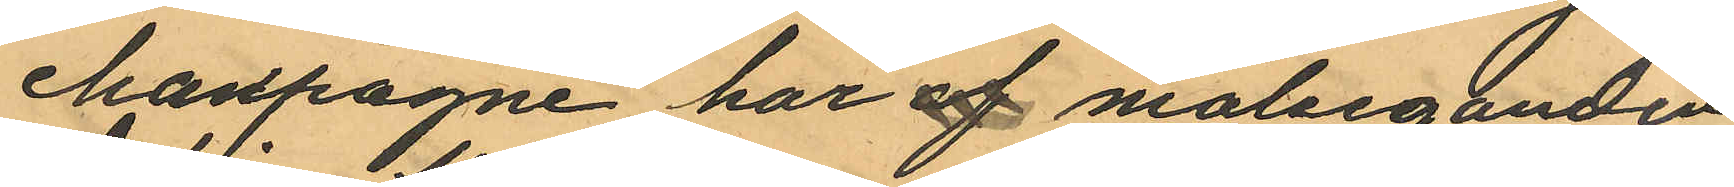champagne har af målseganden
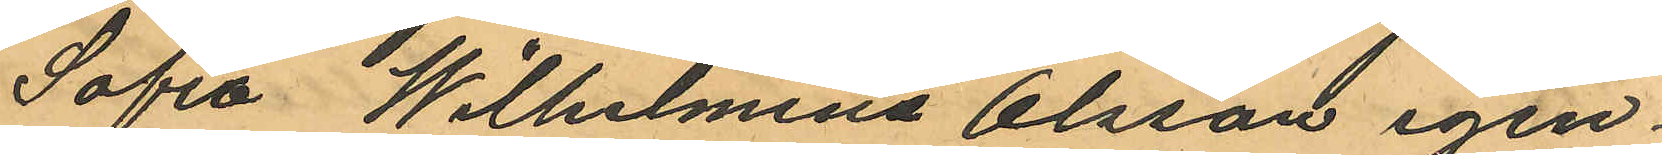Sofia Wilhelmina Olsson igen
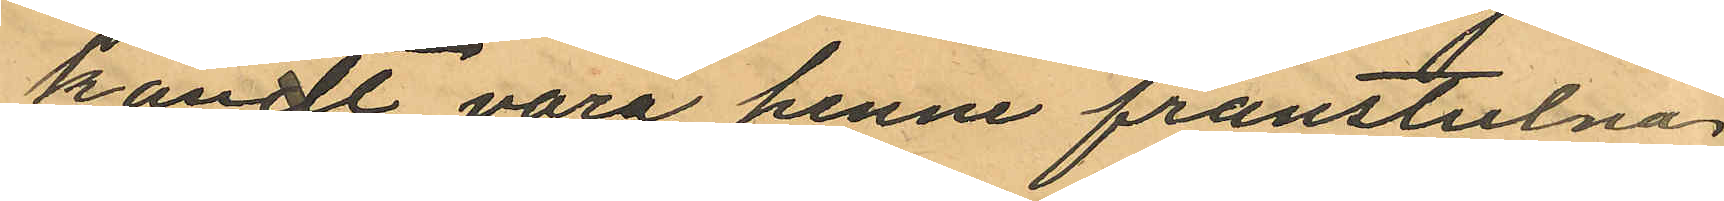kändt vara henne frånstulna
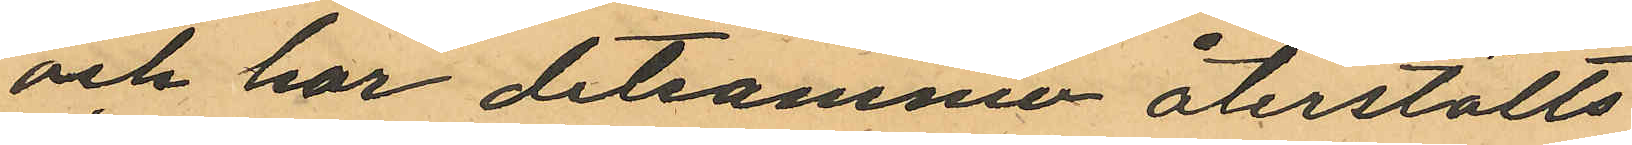och har detsamma återställts
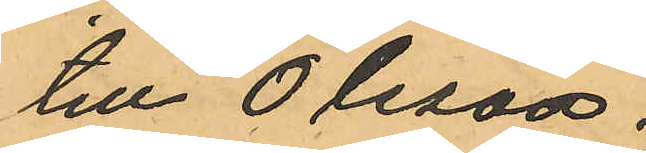till Olsson.
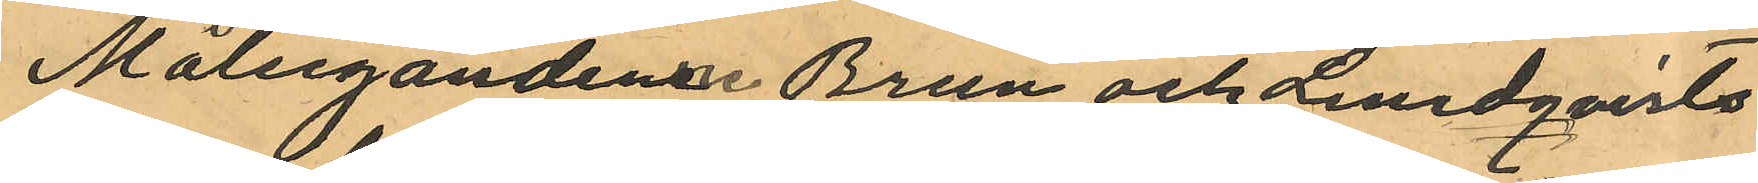Målsegandene Brun och Lindqvists
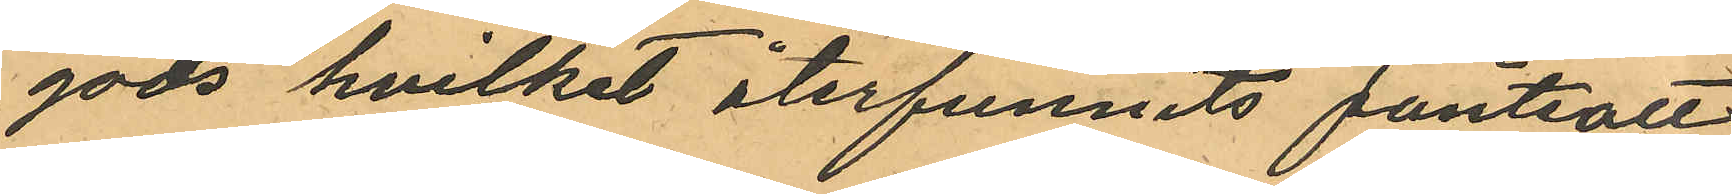gods hvilket återfunnits pantsatt
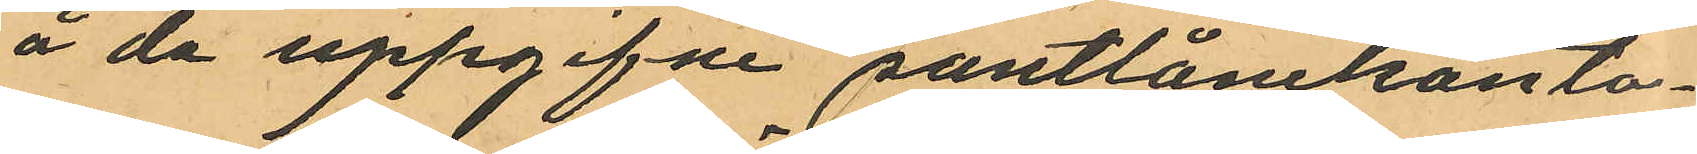å de uppgifne pantlånekonto¬
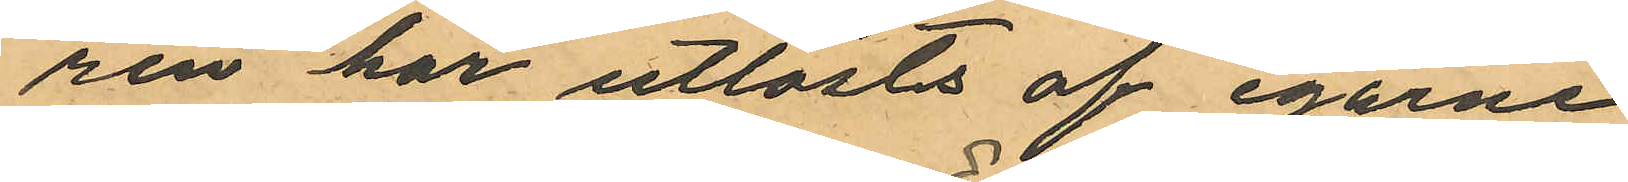ren har utlösts af egarne
